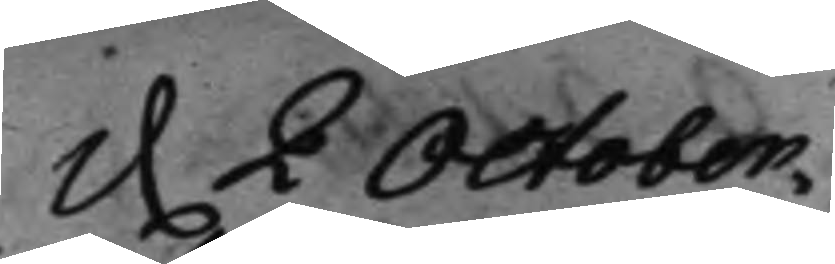d. 2 October. 
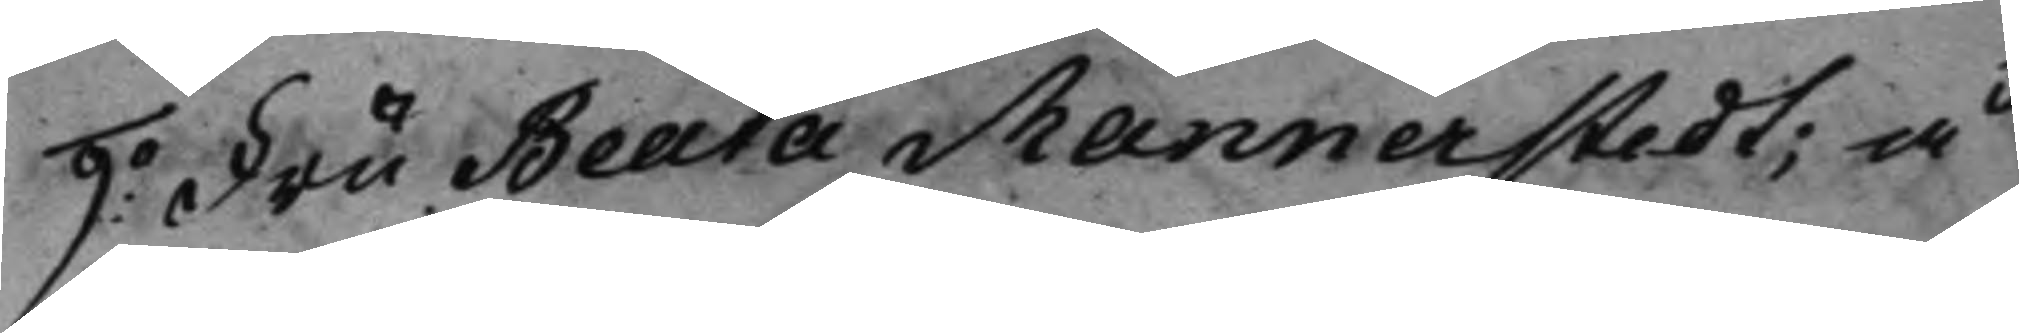9:o Fru Beata Mannerstedt; å 
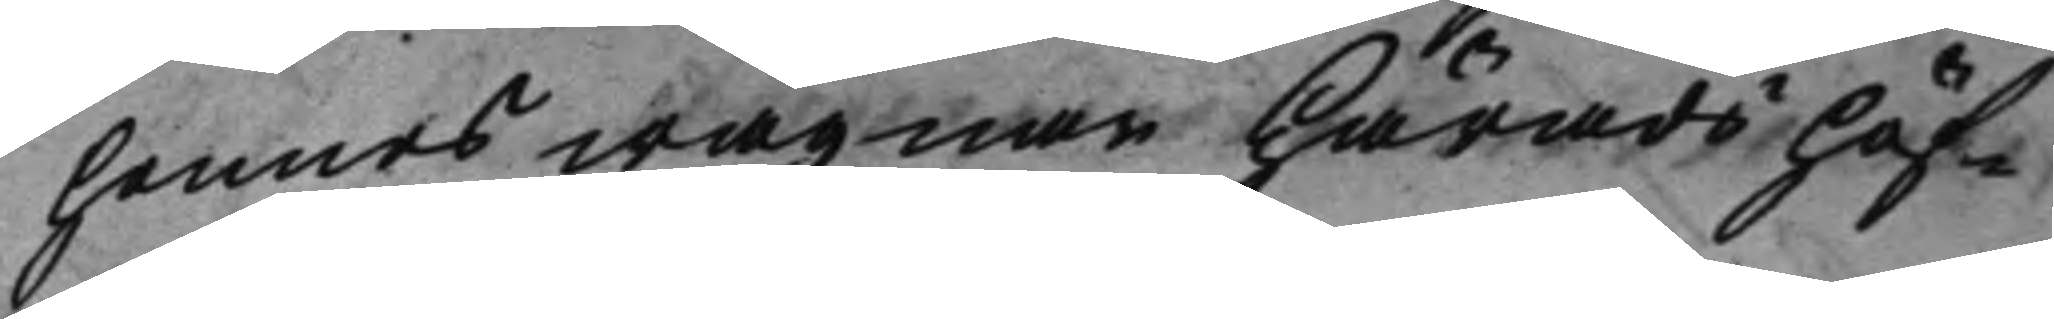hennes wägnar HäradsHöf¬
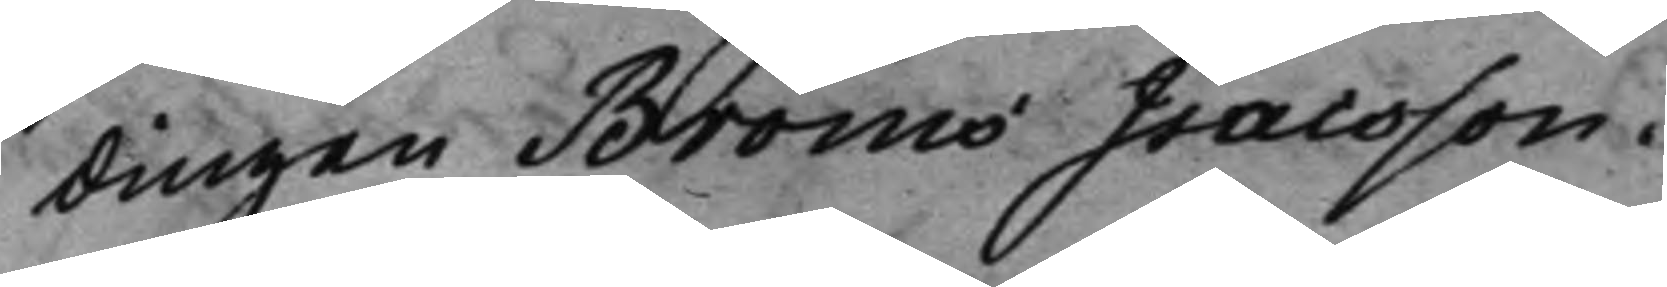dingen Bröms Isacsson.
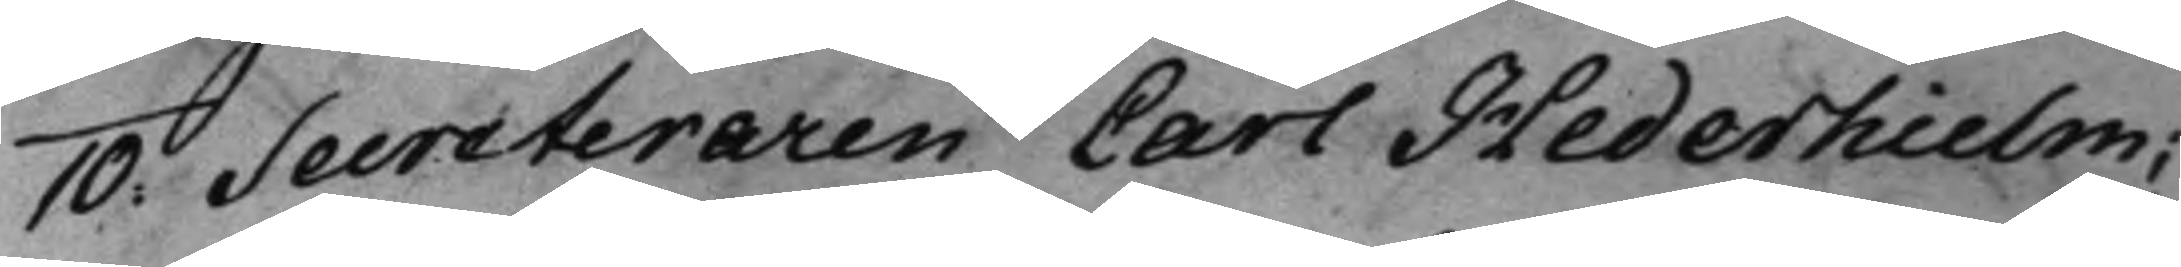10: Secreteraren Carl Hederhielm; 
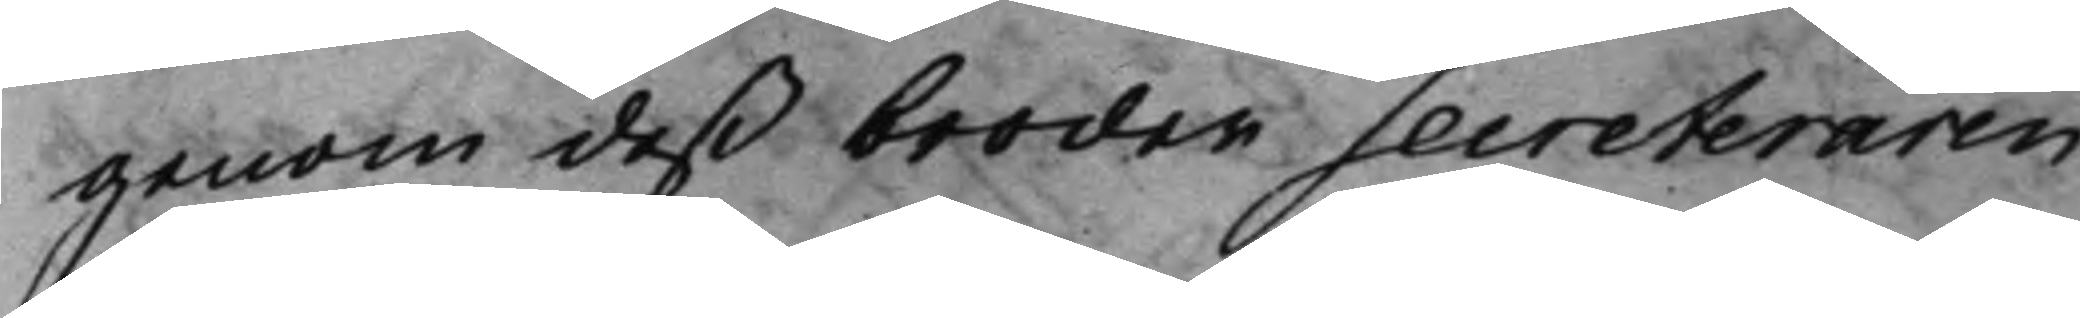genom deß broder Secreteraren
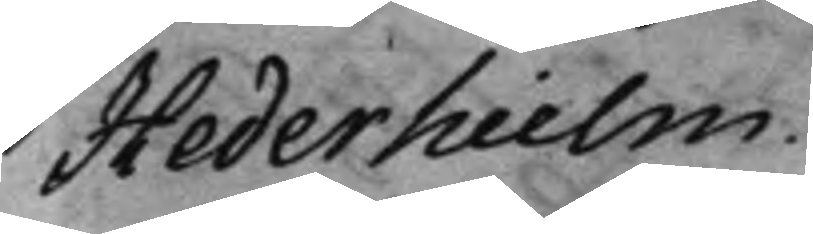Hederhielm.
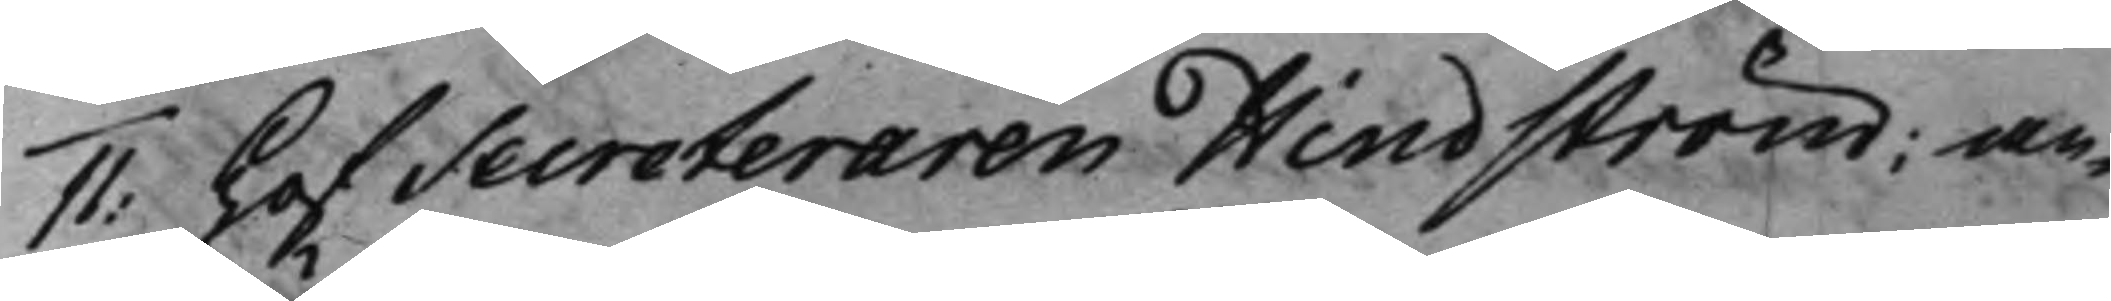11: HofSecreteraren Hindström; an¬
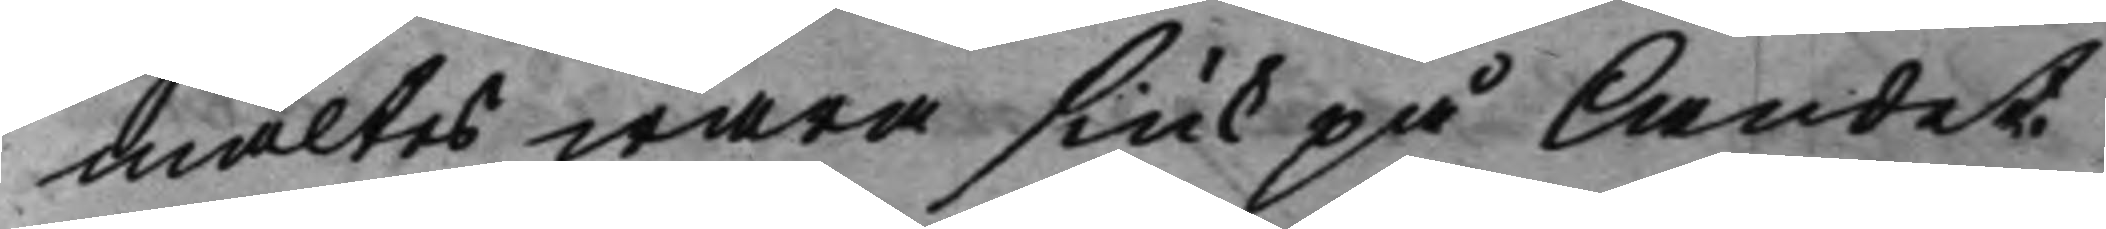mältes wara siuk på Landet.
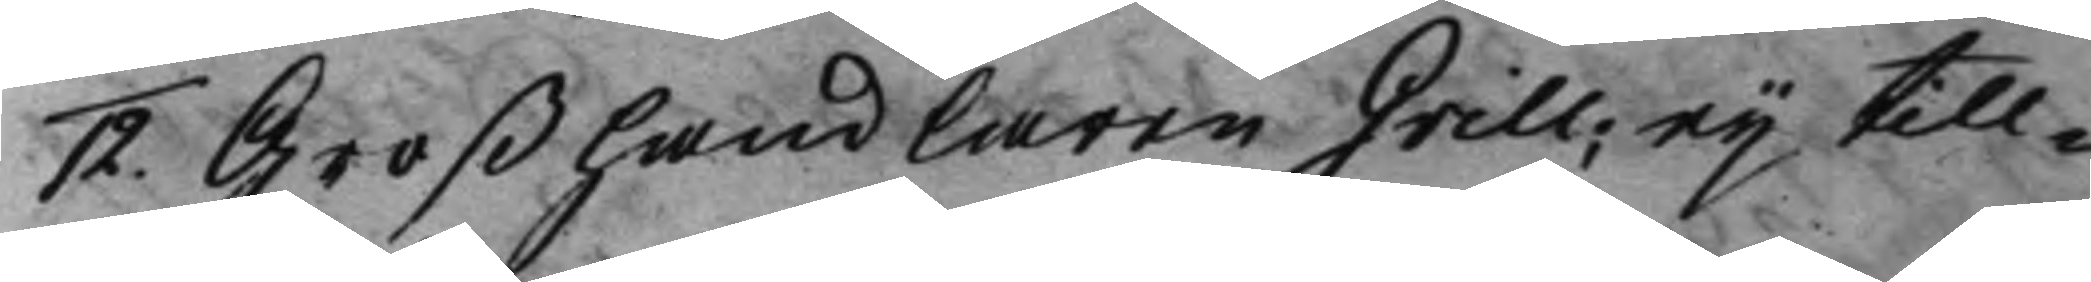12. Großhandlaren Grill; eij till¬
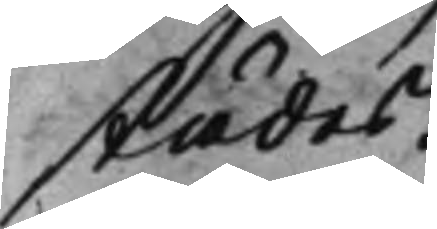städes.
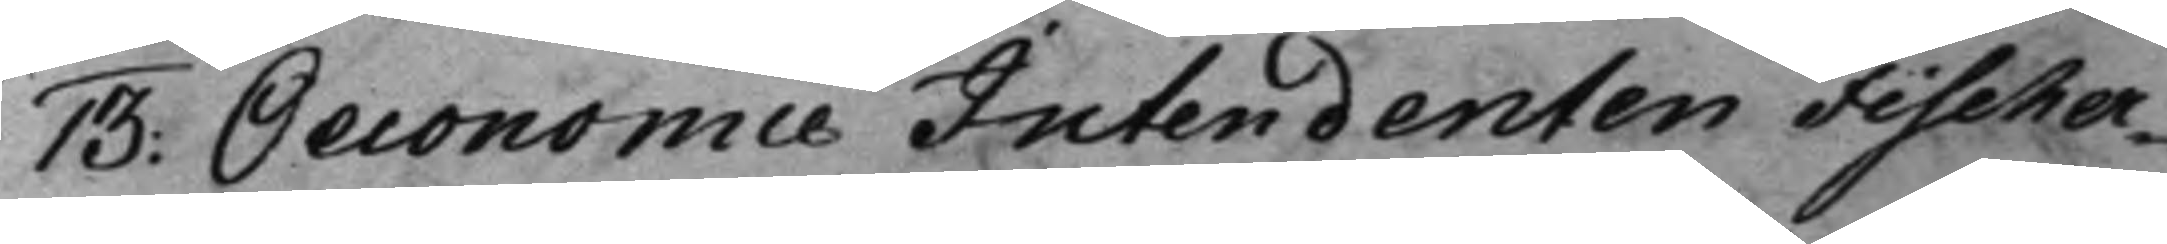13: Oeconomie Intendenten Fischer¬ 
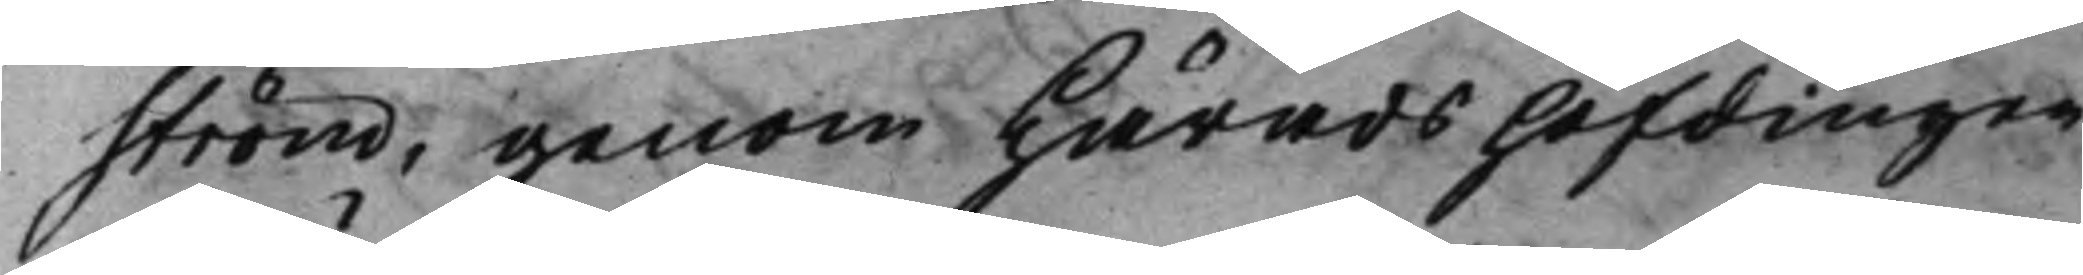ström, genom Häradshöfdingen
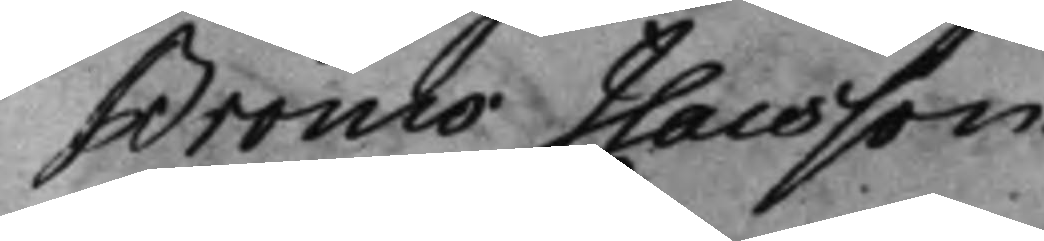Bröms Isacsson.
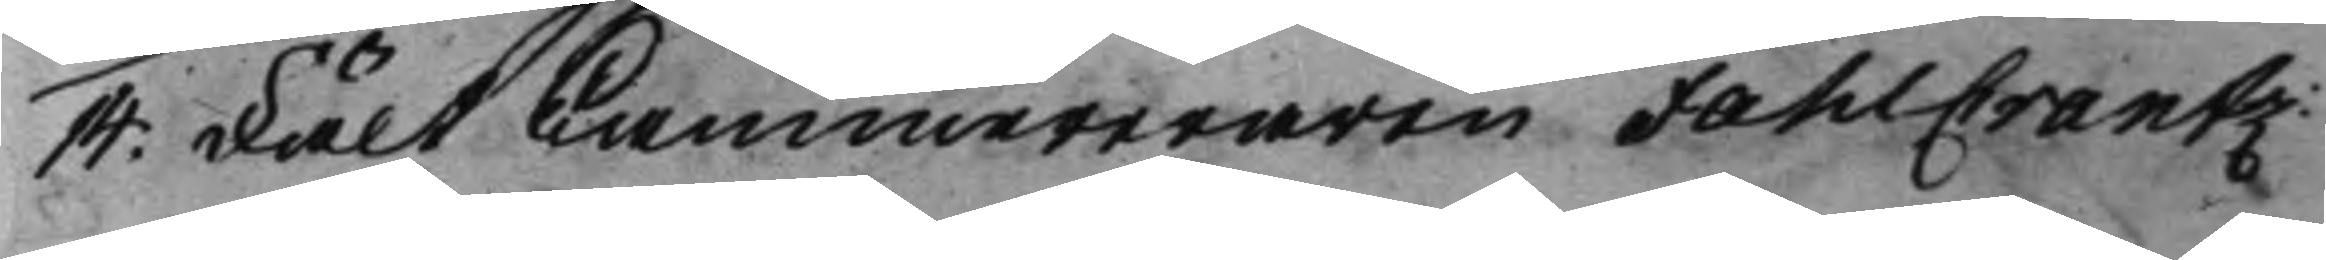14: Fält Cammereraren FahlCrantz:
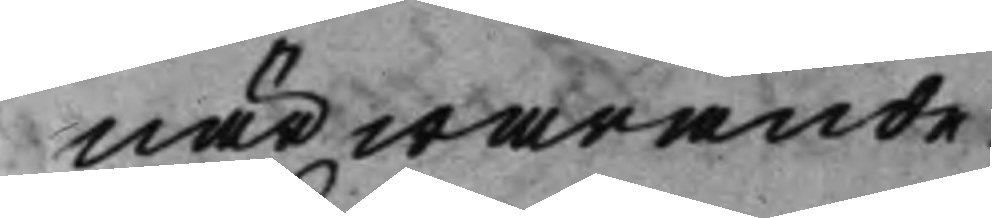närwarande.
